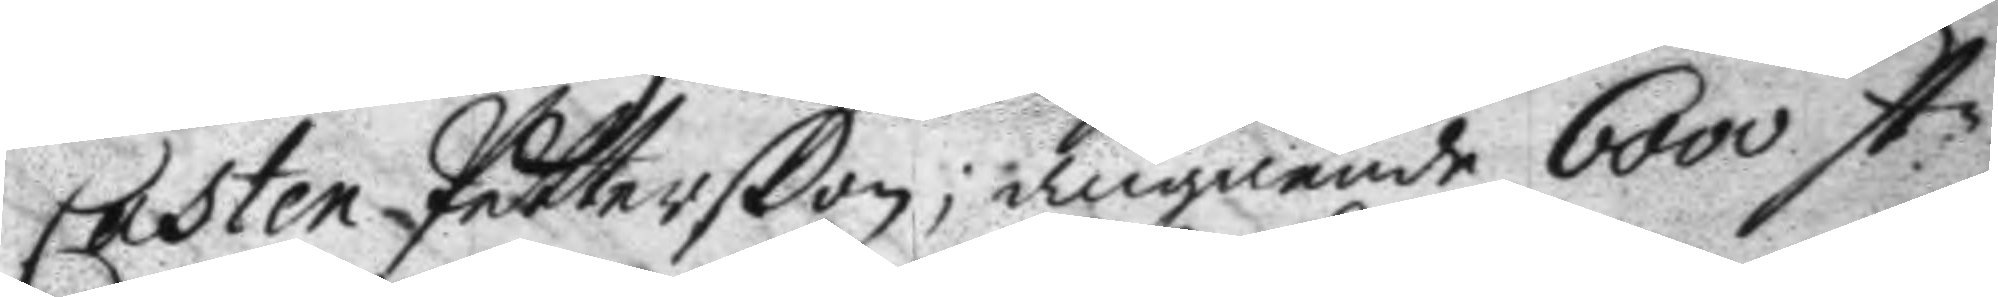Casten Petterßon; angående 6000 st.n
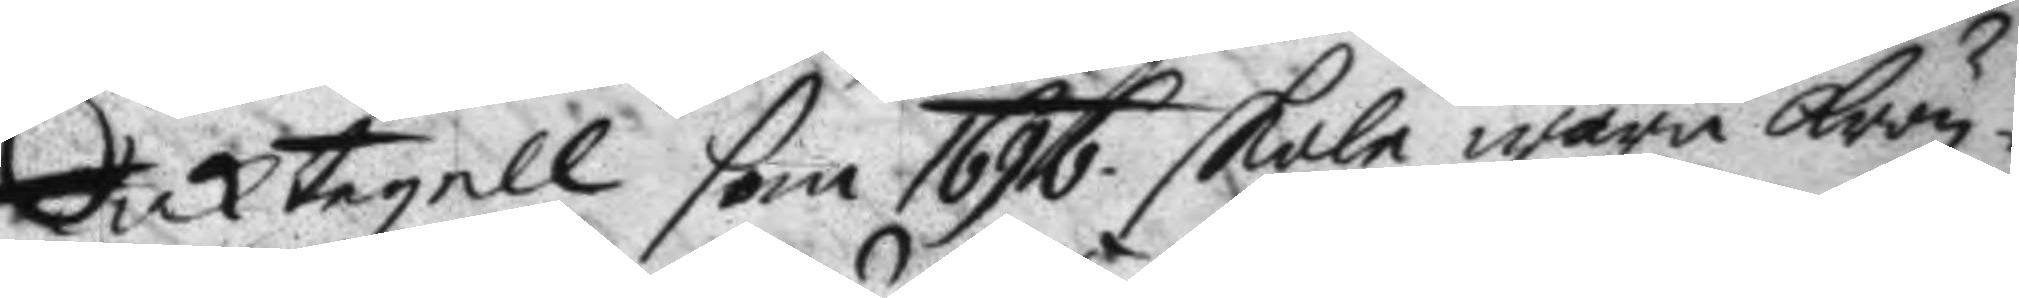taktegell som 1696 skole wara krön¬
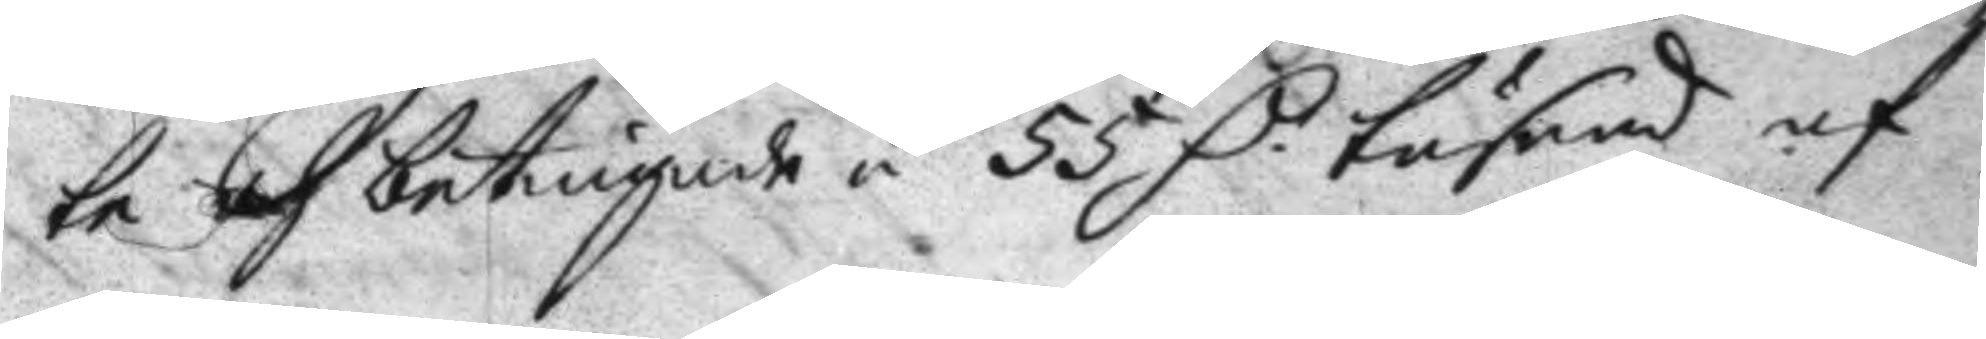ta och betingade á 55 D. tusend af
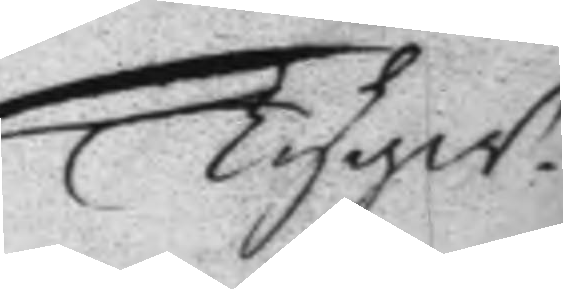Tygw.
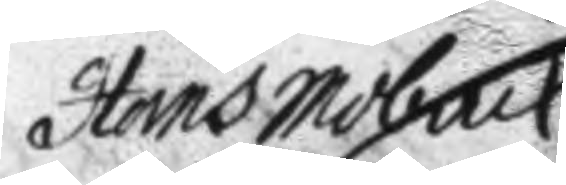Hans Moback
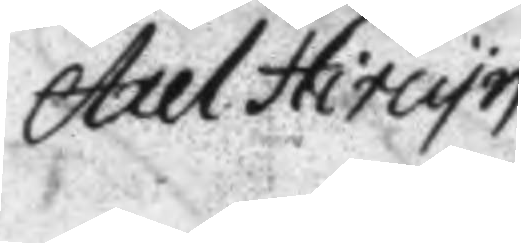Axel Hitnyn
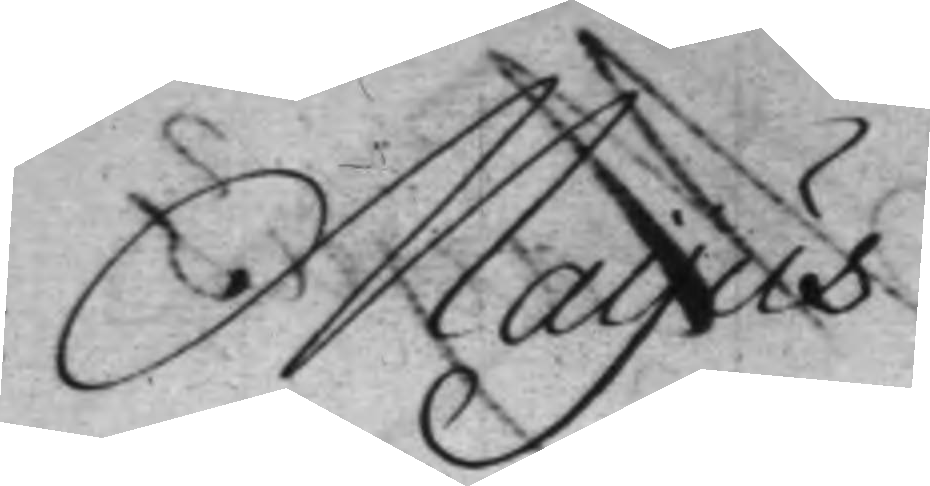Mayus
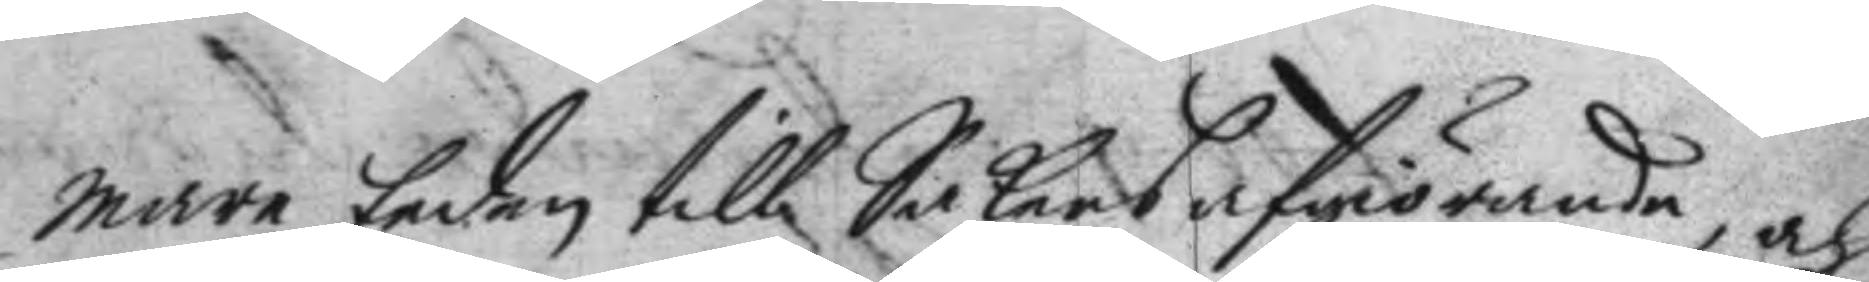mare Eeden till Sakers afgiörande, och
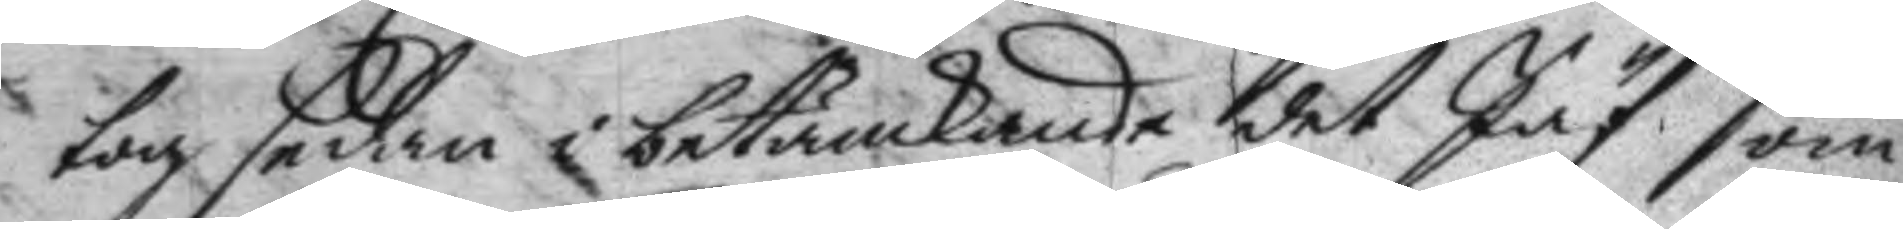tog sedan i betänkande det Jäf som
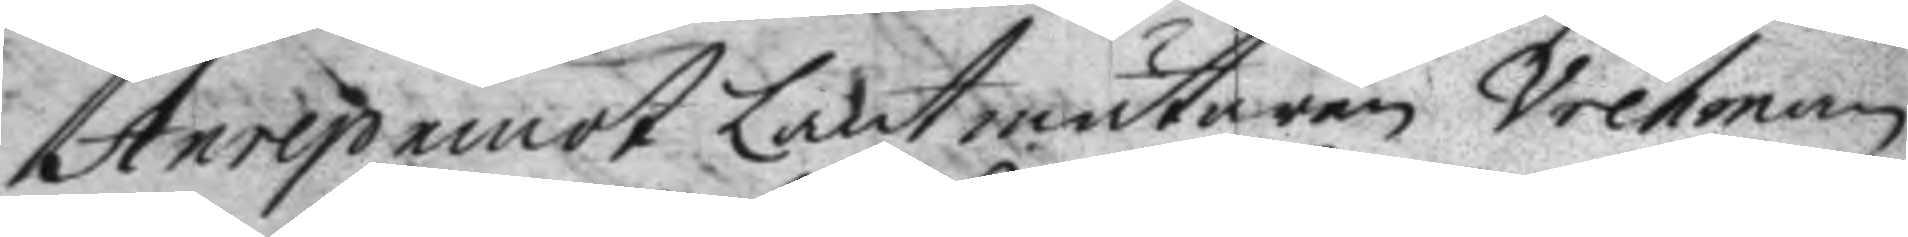Anrep emot Lantmätaren Vretman
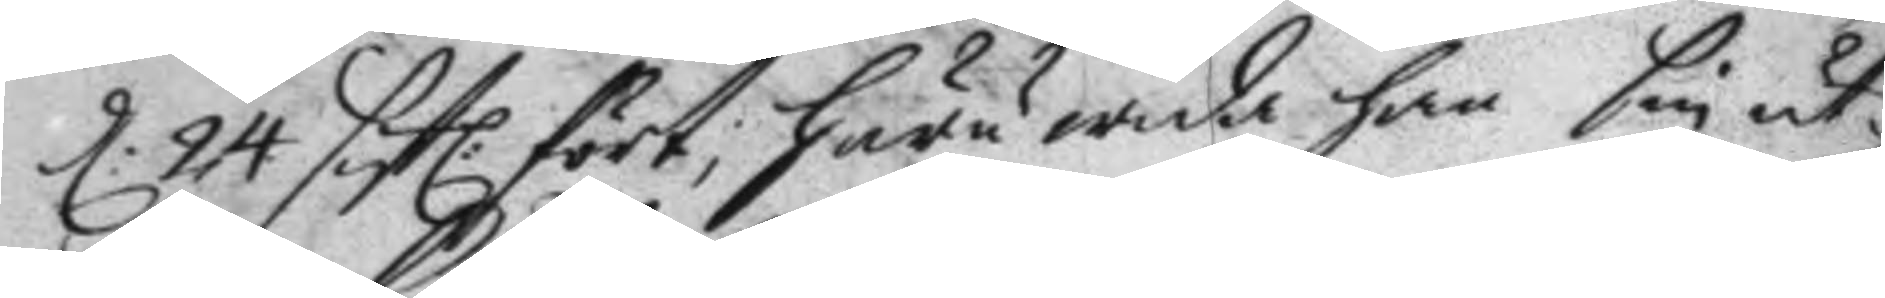d: 24 sisl. fört; huru wida han sin ut¬ 
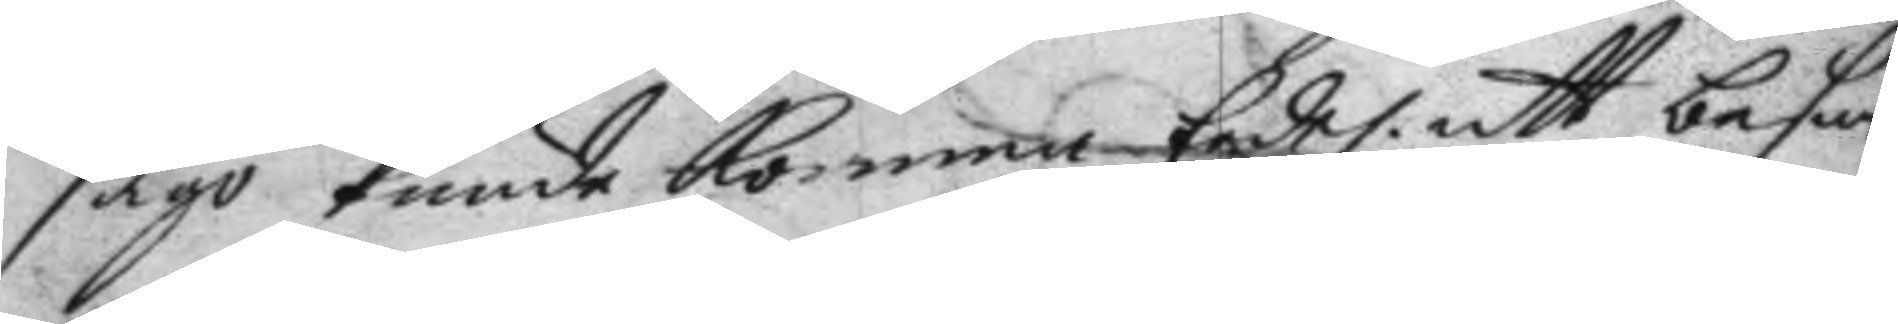sago kunde komma Eedel. att besan¬
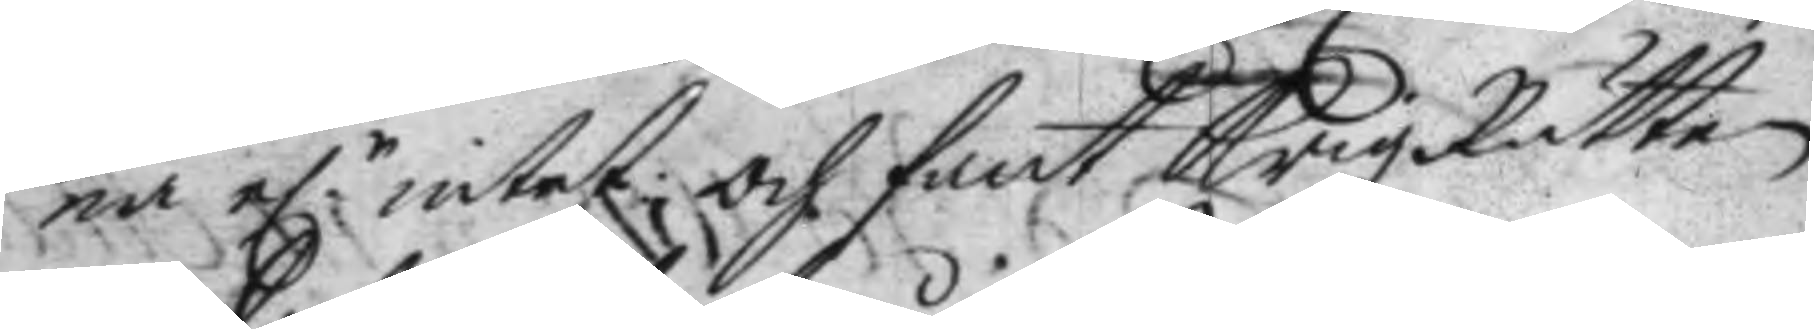na el.r intet och fant Krigz Rätten 
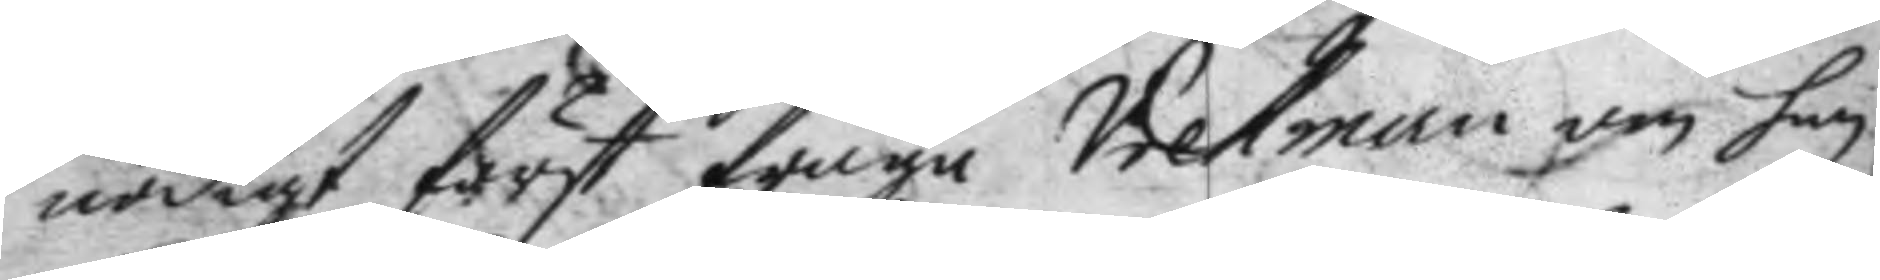nödigt först fråga Vretman om han
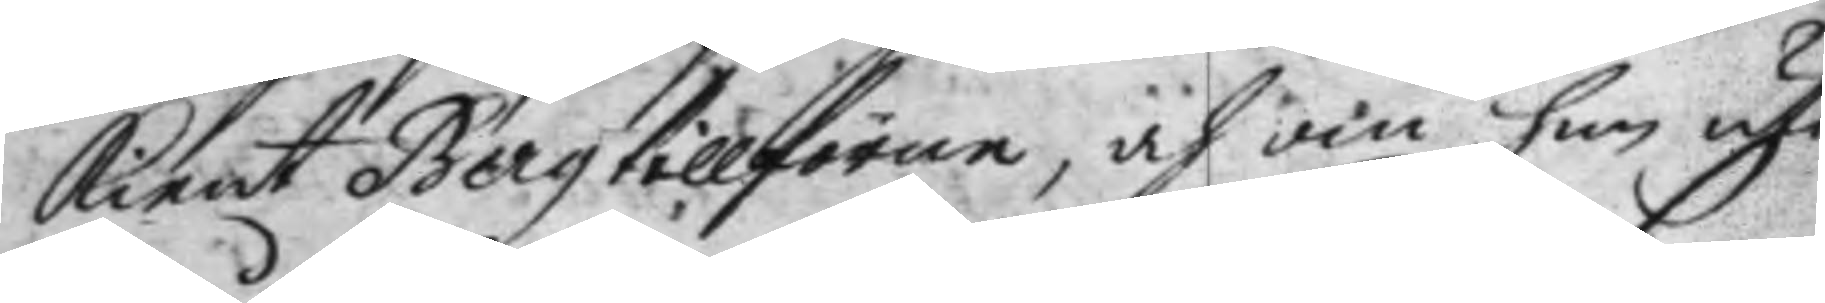kient Berg tillförne, och om han uti
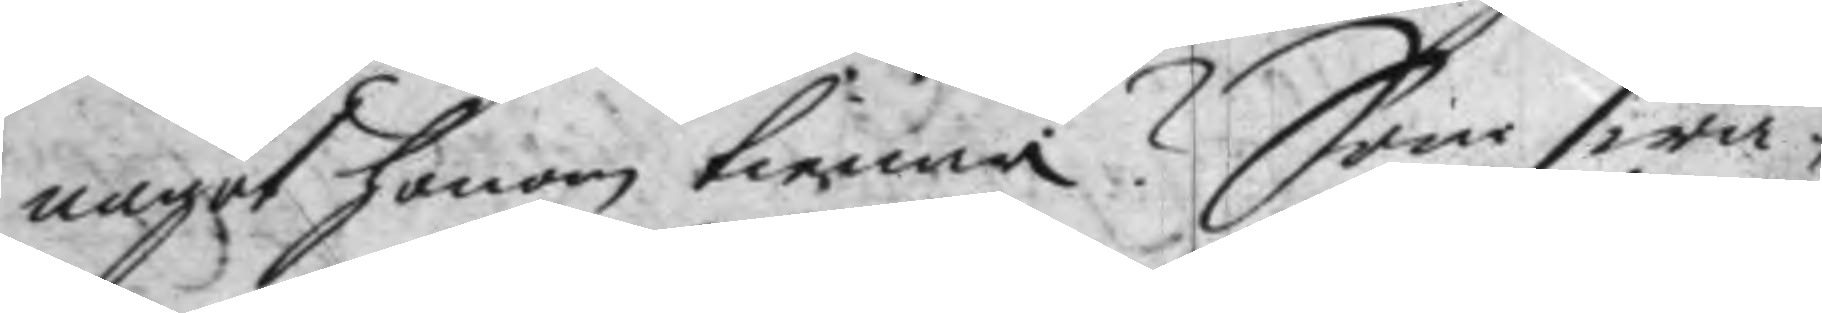något honom kienna? Som swa¬
